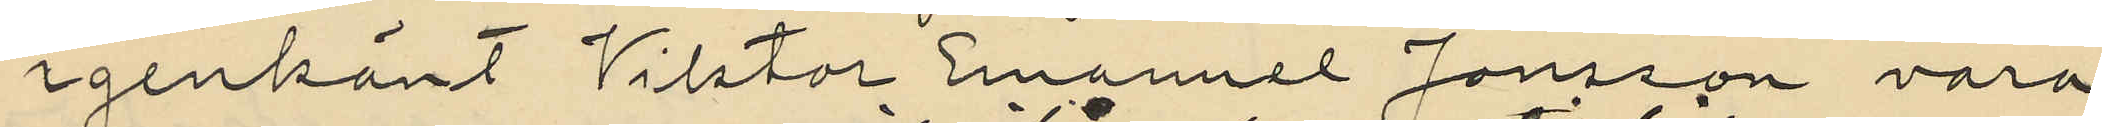igenkänt Vikttor Emanuel Jonsson vara
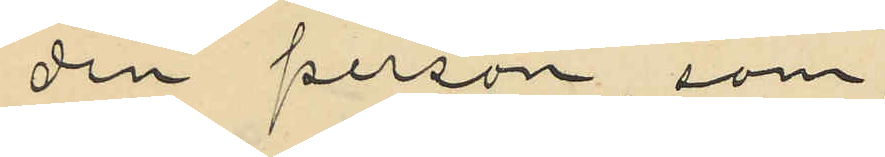den person som
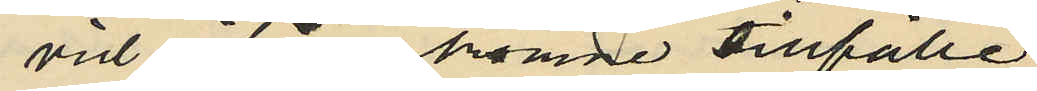vid ifrågakomne tillfälle
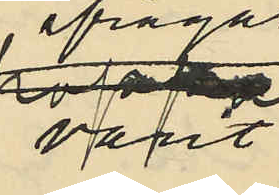varit
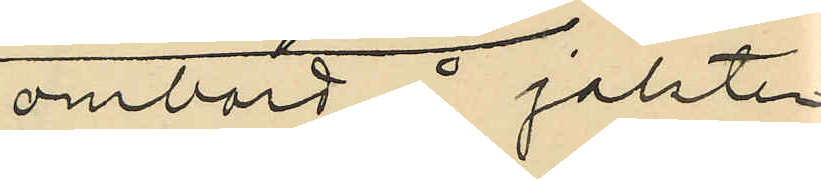ombord å jakten.
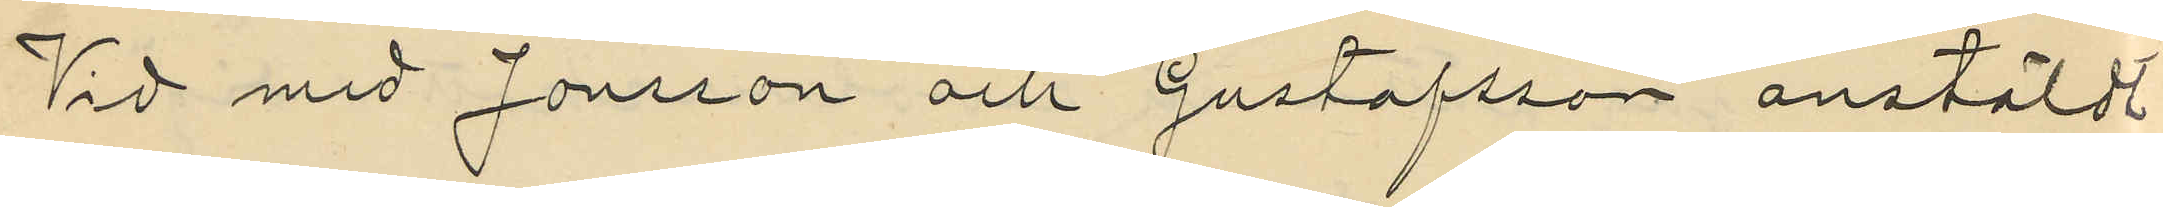Vid med Jonsson och Gustafsson anstäldt
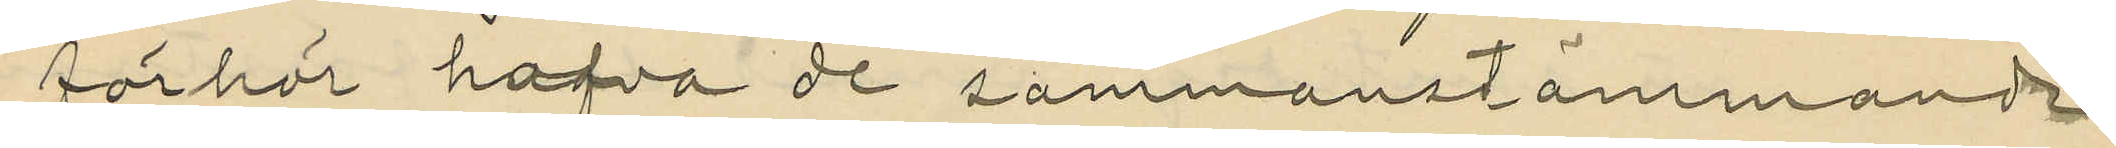förhör hafva de sammanstämmande
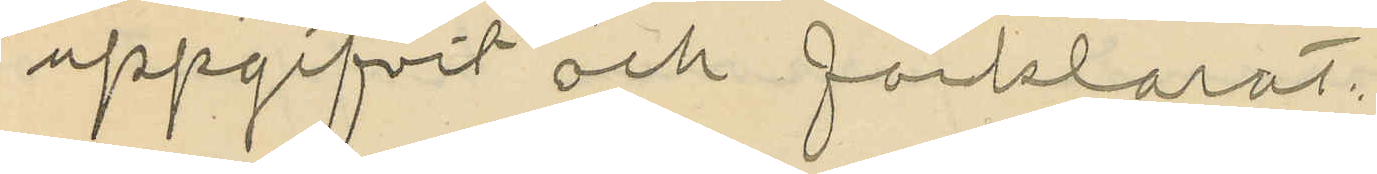uppgifvit och förklarat:
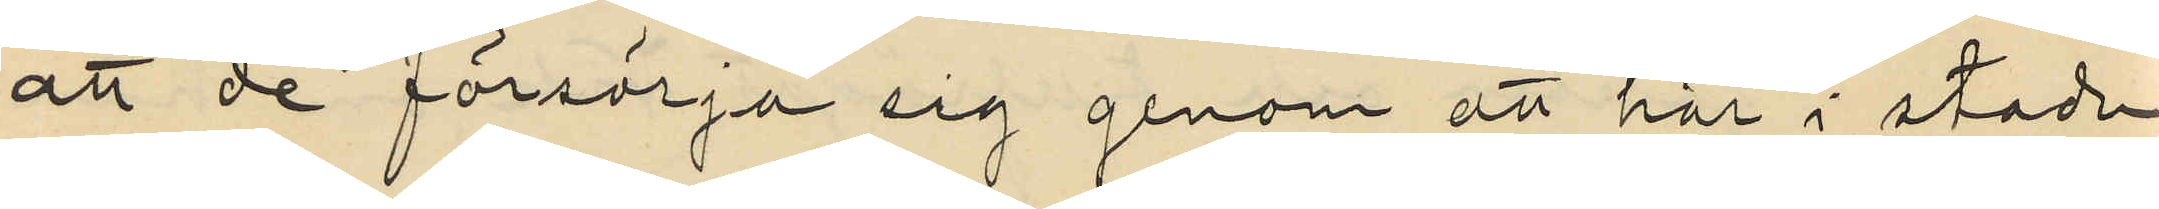att de försörja sig genom att här i staden
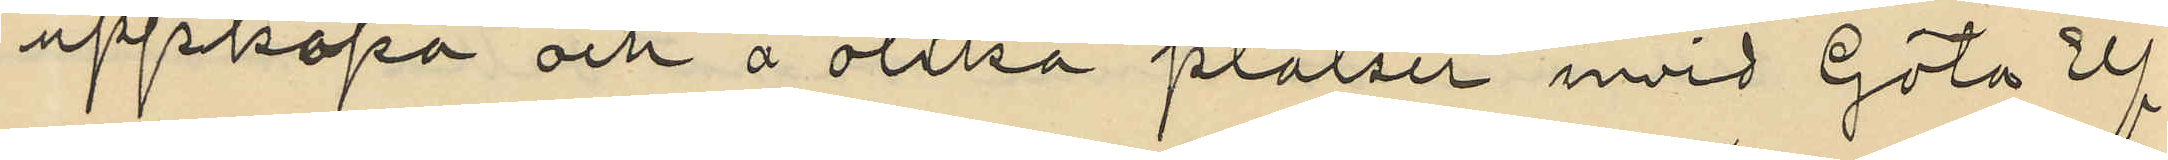uppköpa och å olika platser invid Göta Elf
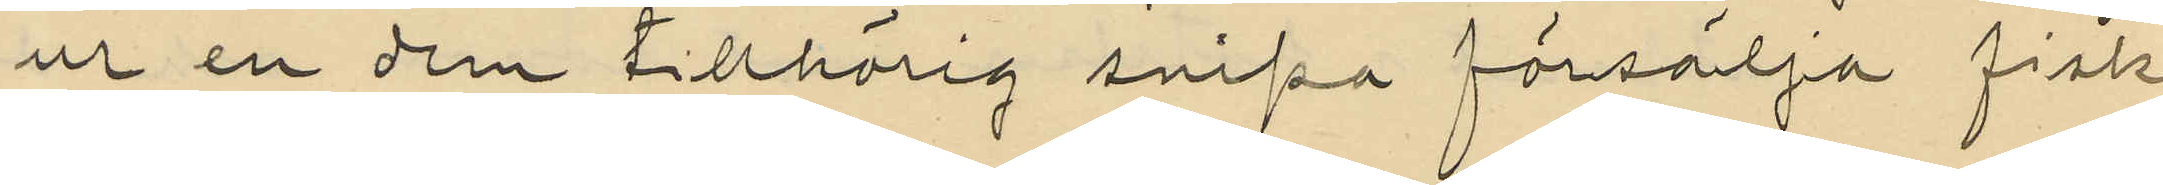ur en dem tillhörig snipa försälja fisk
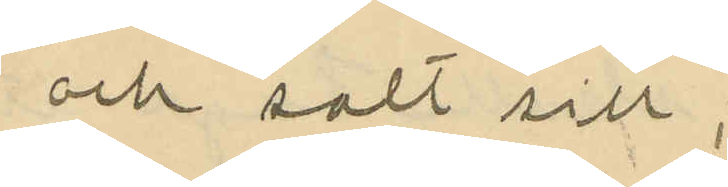och salt sill;
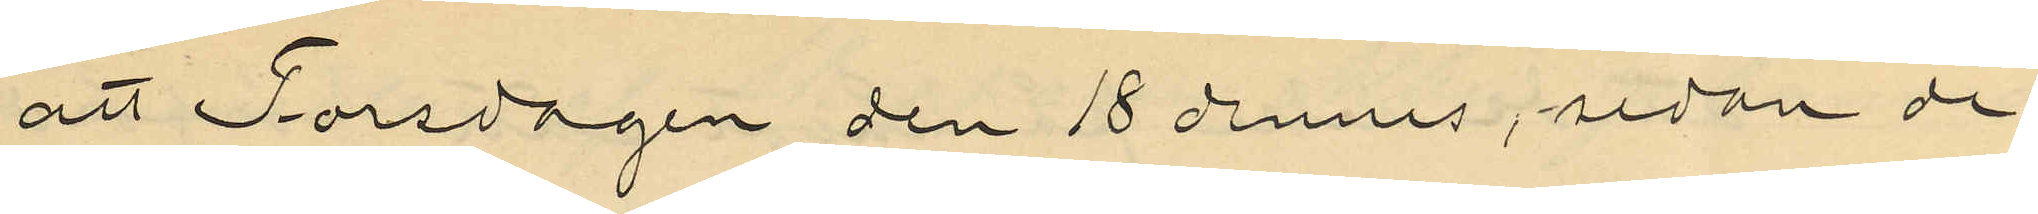att Torsdagen den 18 dennes, sedan de
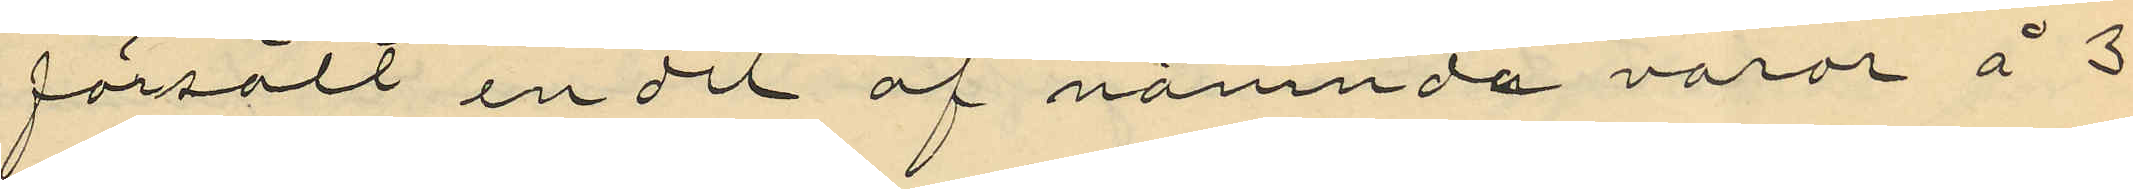försålt en del af nämnda varor å 3
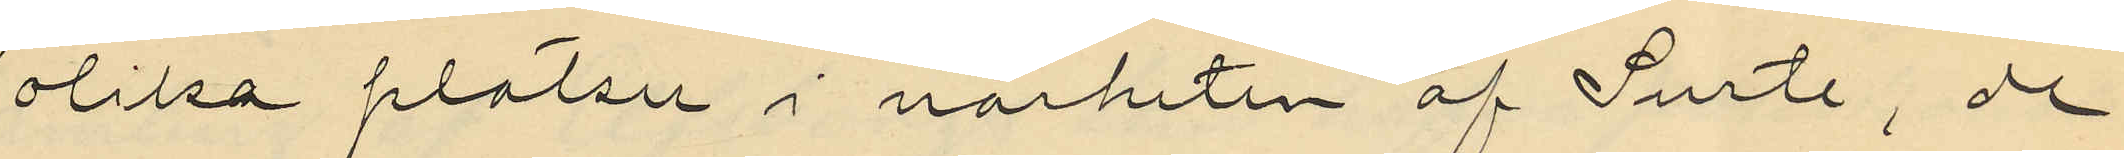olika platser i närheten af Surte, de
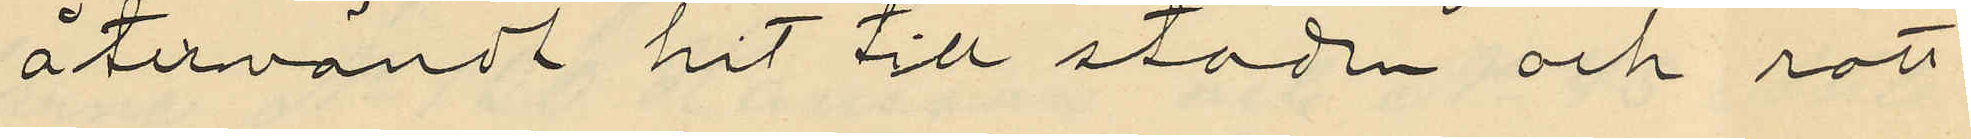återvändt hit till staden och rott
